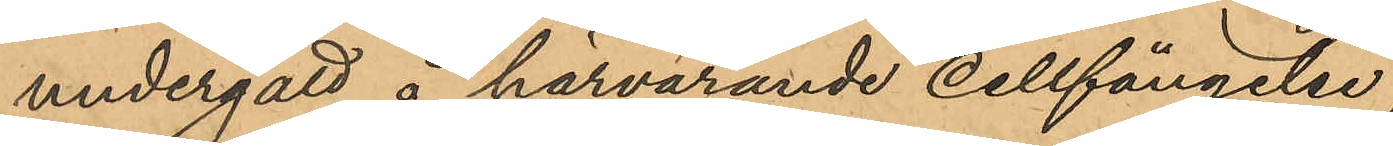undergått å härvarande Cellfängelse;
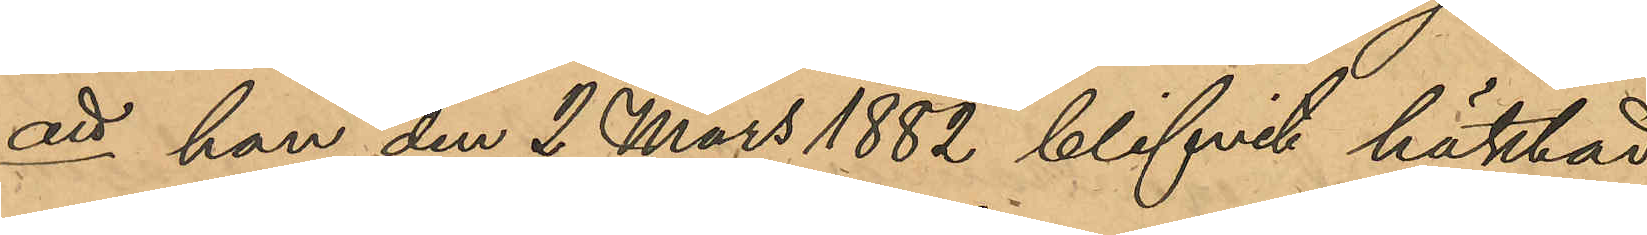att han den 2 mars 1882 blifvit häktad
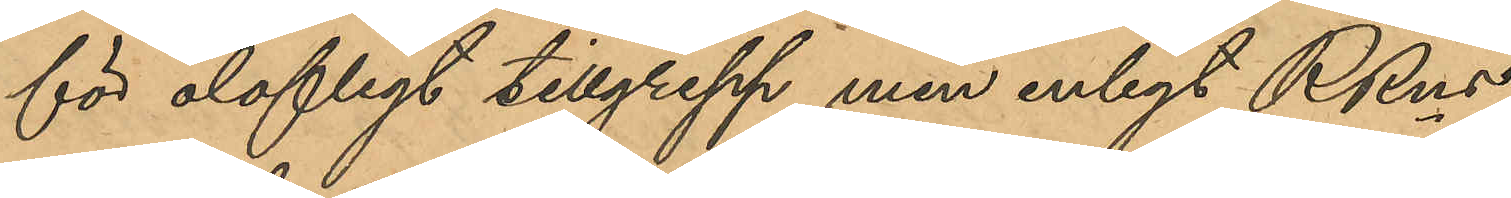för olofligt tillgrepp men enligt RRns
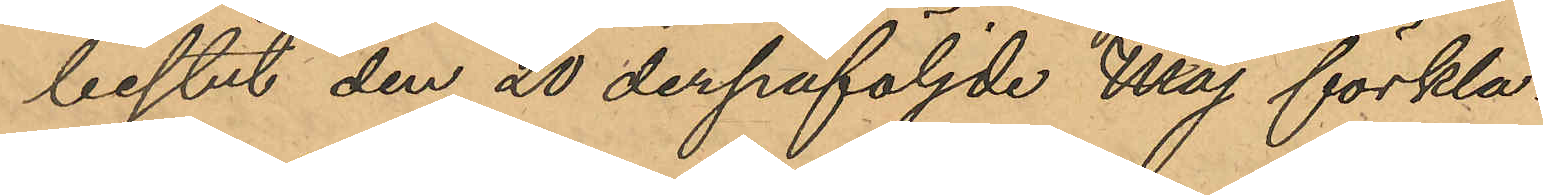beslut den 20 derpåföljde Maj förkla¬
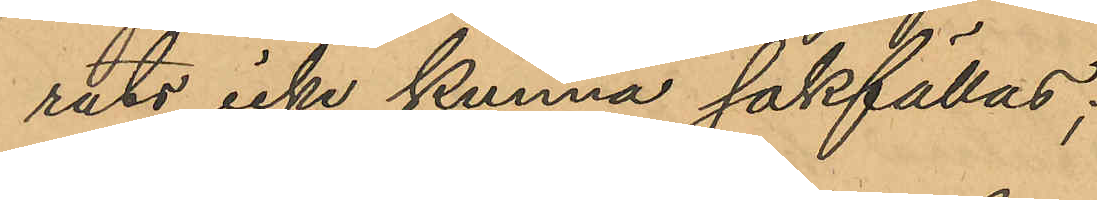rats icke kunna sakfällas;
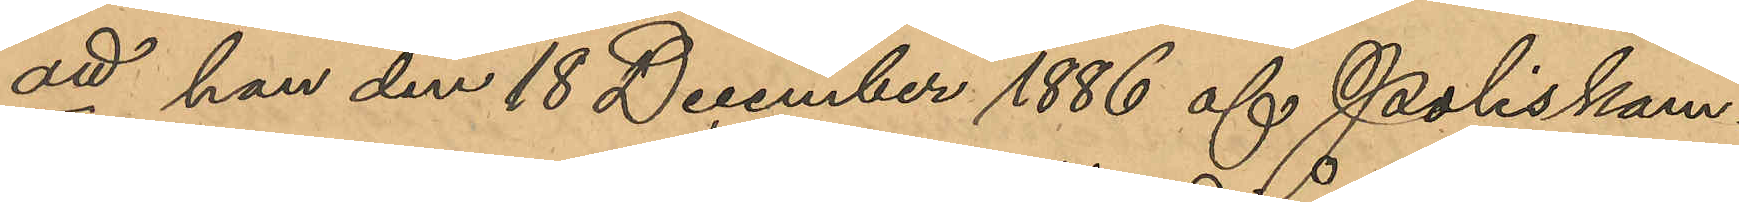att han den 18 December 1886 af Poliskam¬
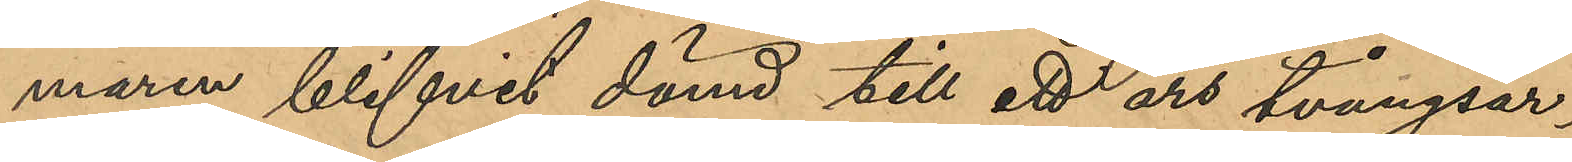maren blifvit dömd till ett års tvångsar¬
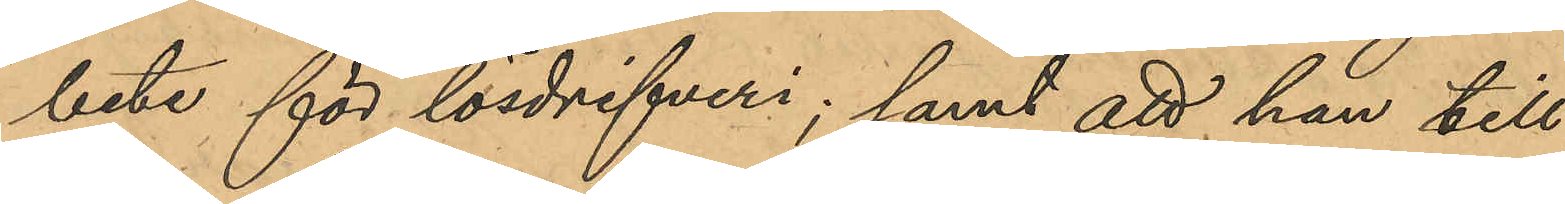bete för lösdrifveri; samt att han till¬
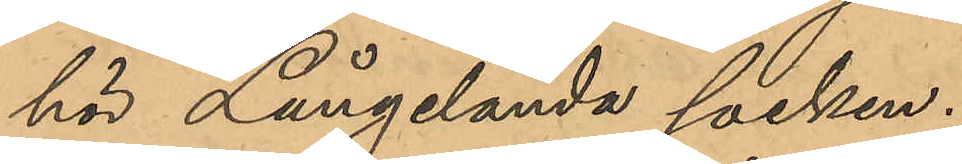hör Långelanda socken.
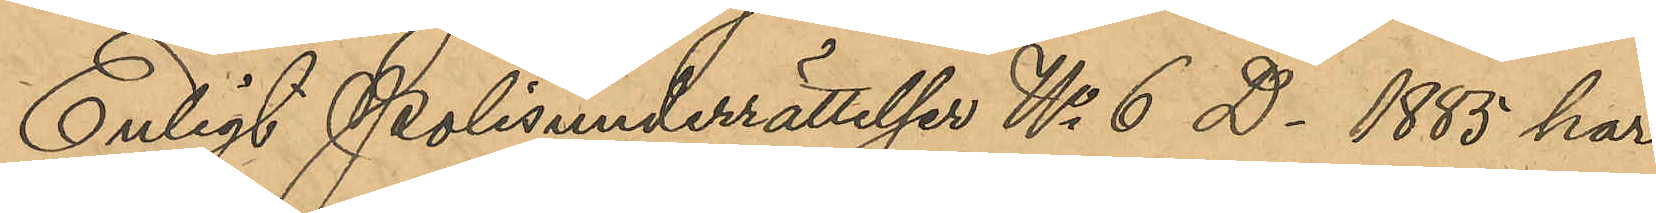Enligt Polisunderrättelser No 6 D. 1885 har
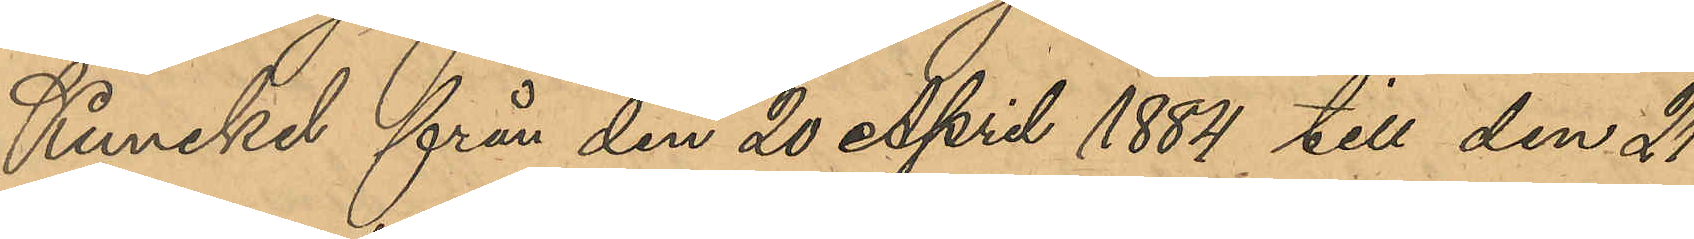Kunckel från den 20 April 1884 till den 21
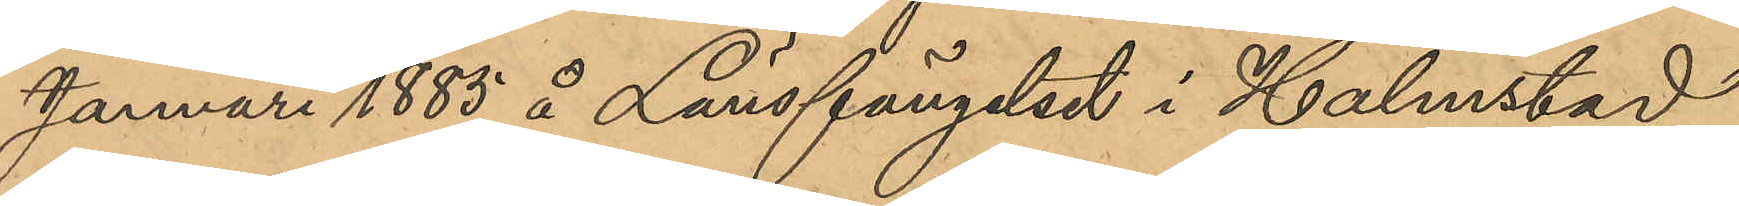Januari 1885 å Länsfängelset i Halmstad
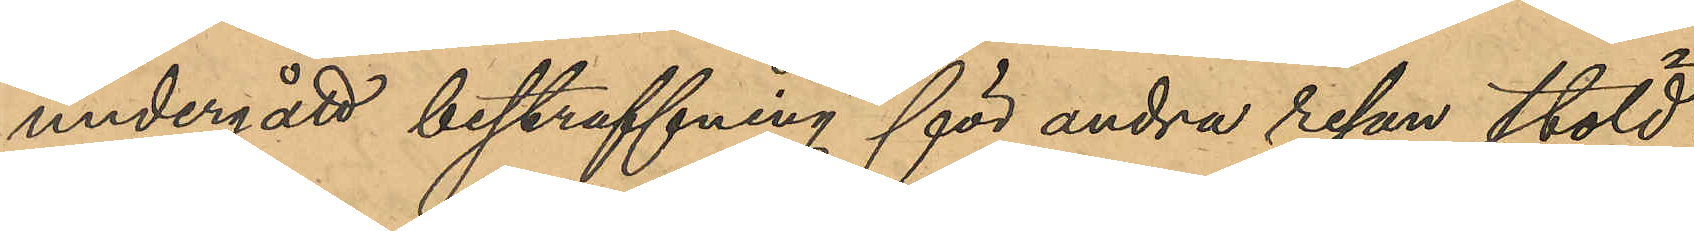undergått bestraffning för andra resan stöld.
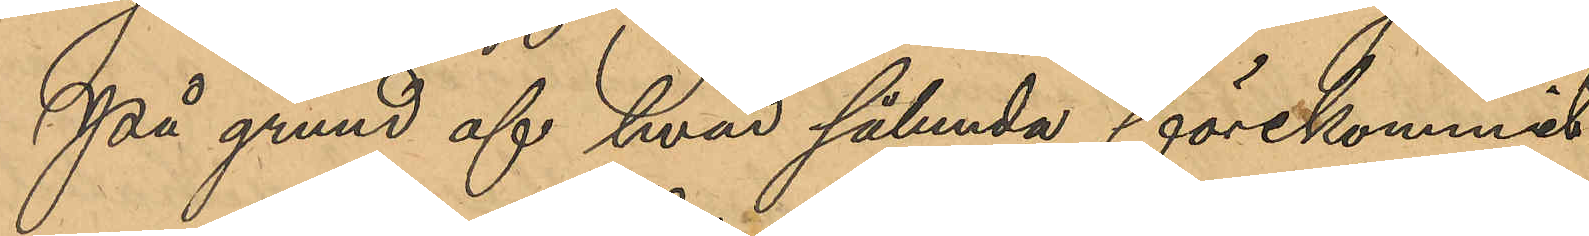På grund af hvad sålunda förekommit
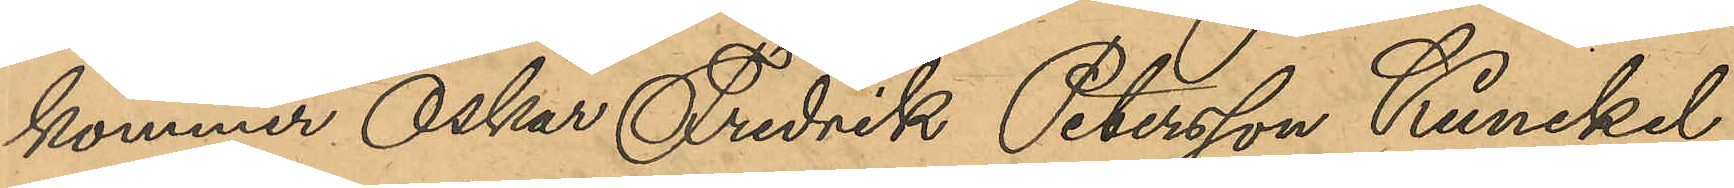kommer Oskar Fredrik Petersson Kunckel,
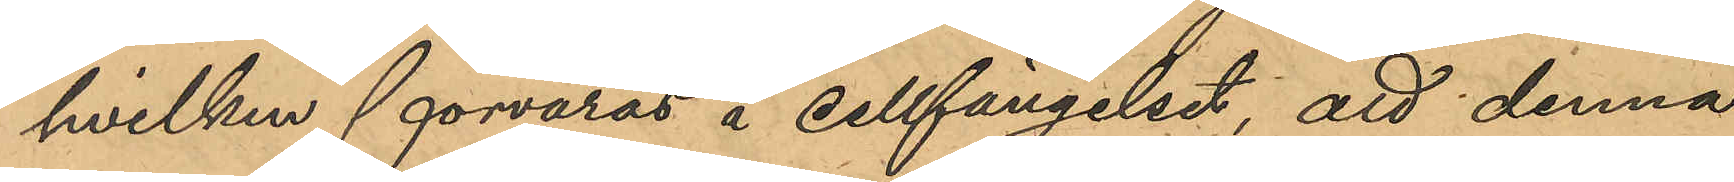hvilken förvaras å cellfängelset, att denna
